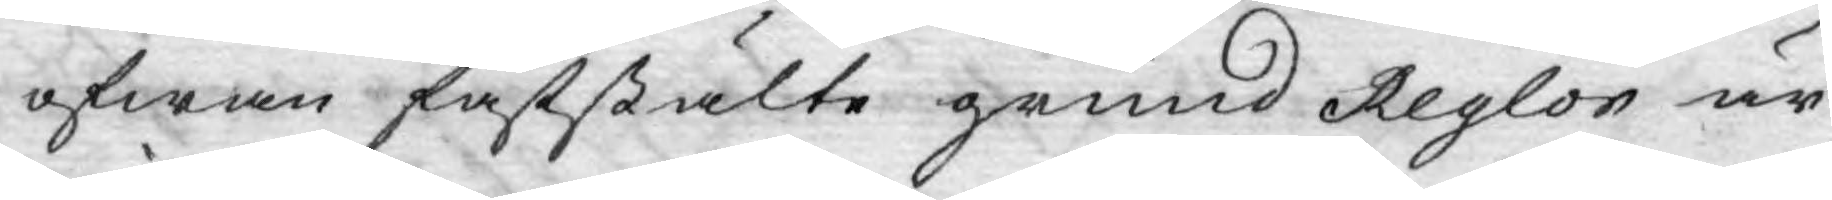ofwan faststälte grund Reglor är
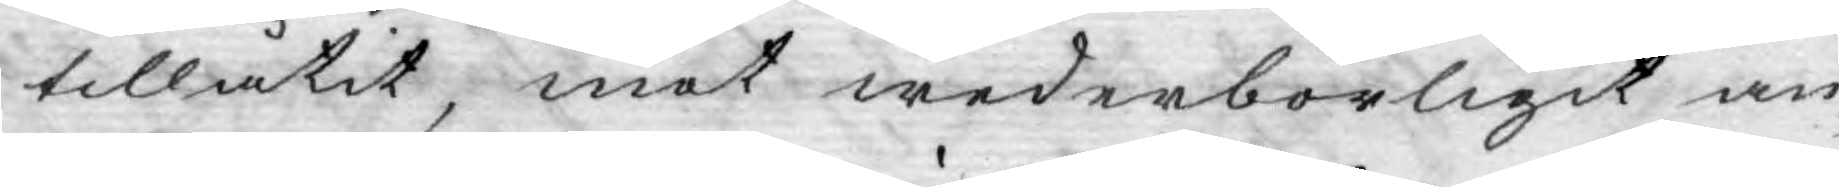tillåtit, mot wederbörligit an¬
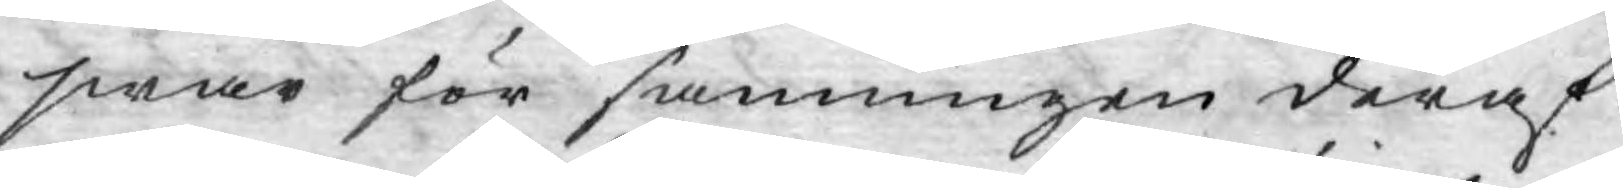swar för sanningen deraf.
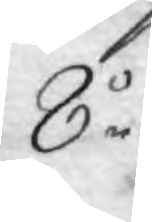8o
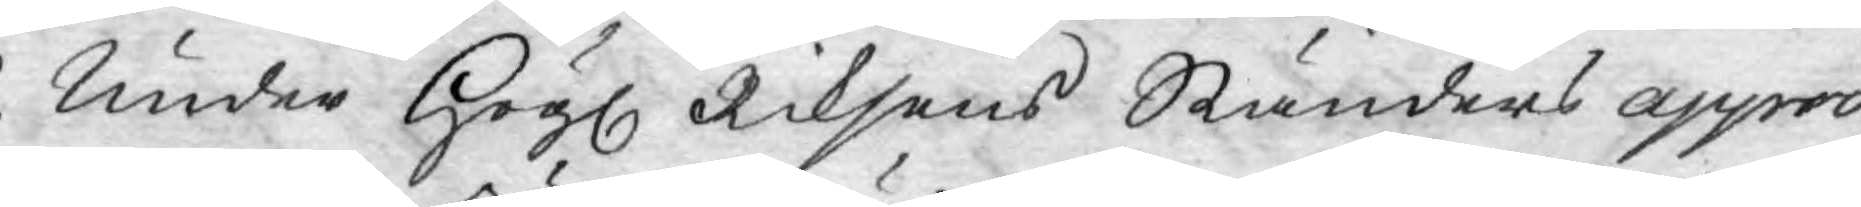Under Högl. Riksens Ständers appro¬
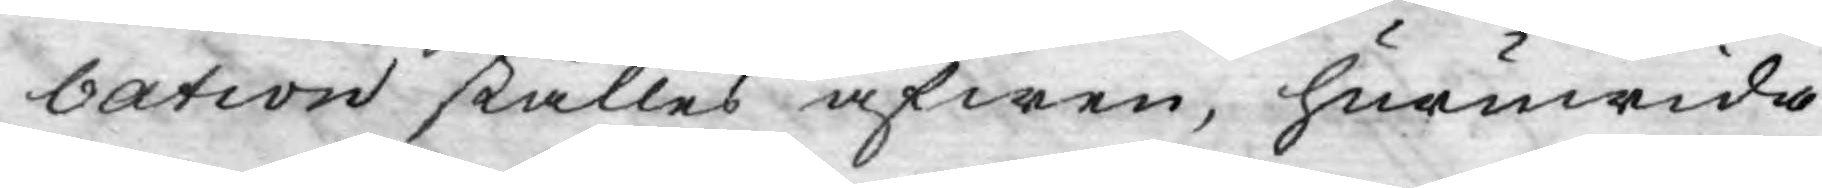bation ställes äfwen, huruwida
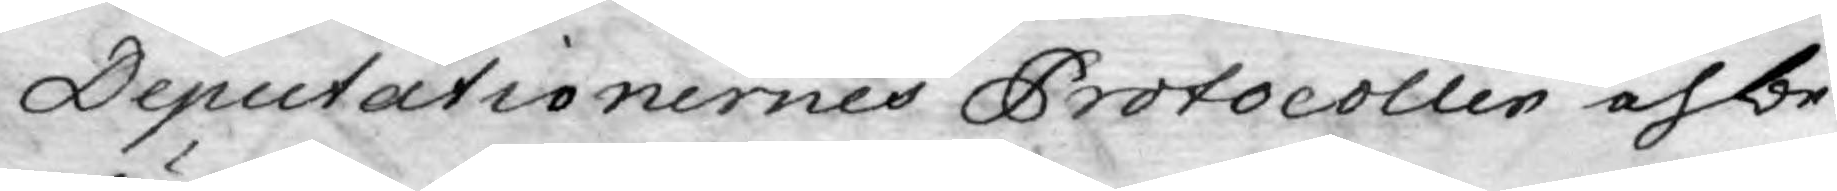Deputationernes Protocoller och be¬
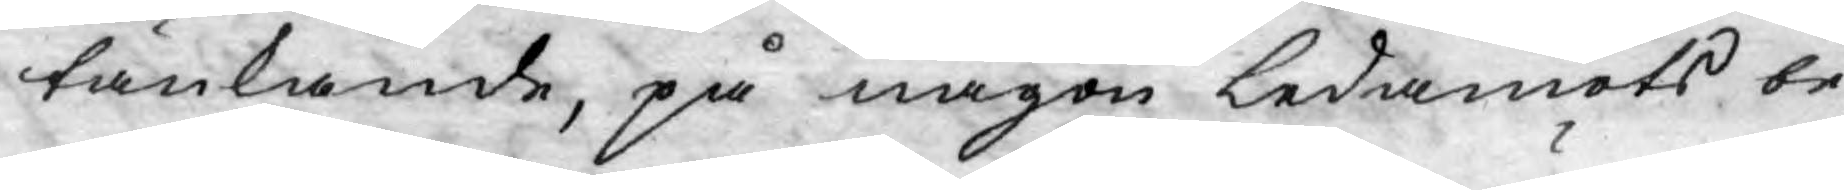tänkande, på någon ledamots be¬
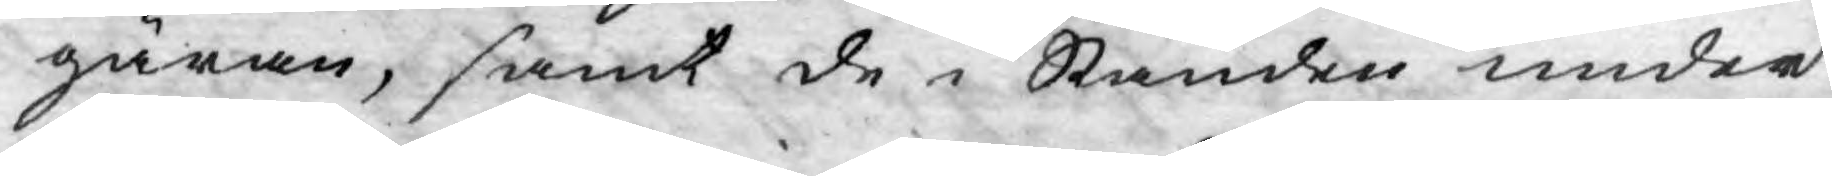gäran, samt de i Stånden under
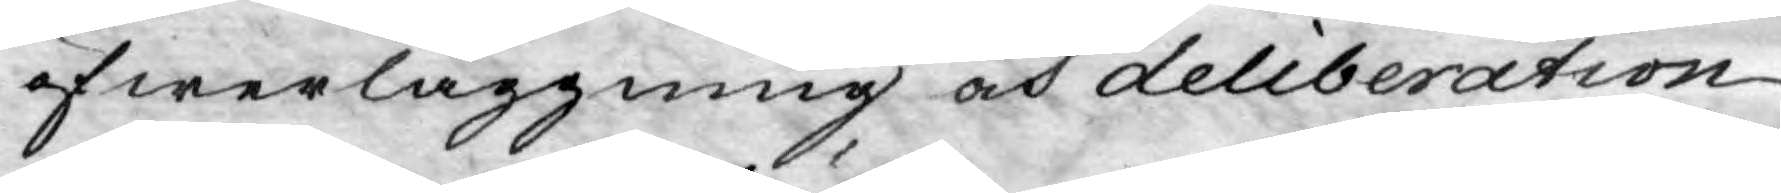öfwerläggning och deliberation
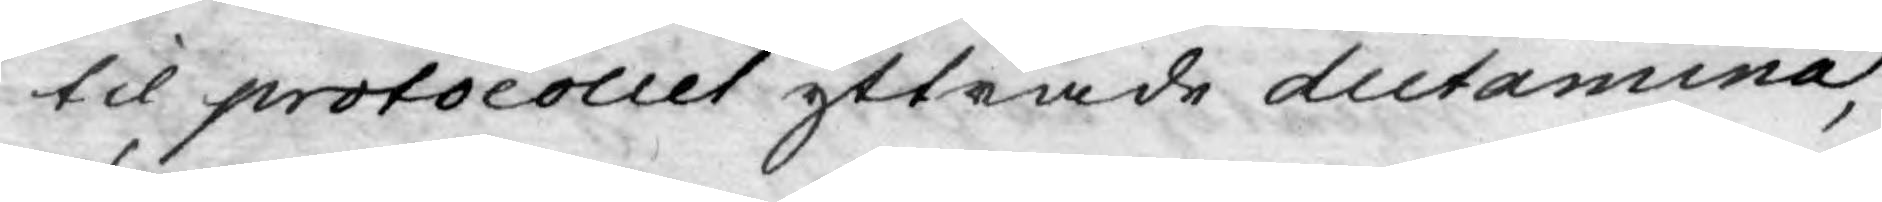til protocollet yttrade dictamina,
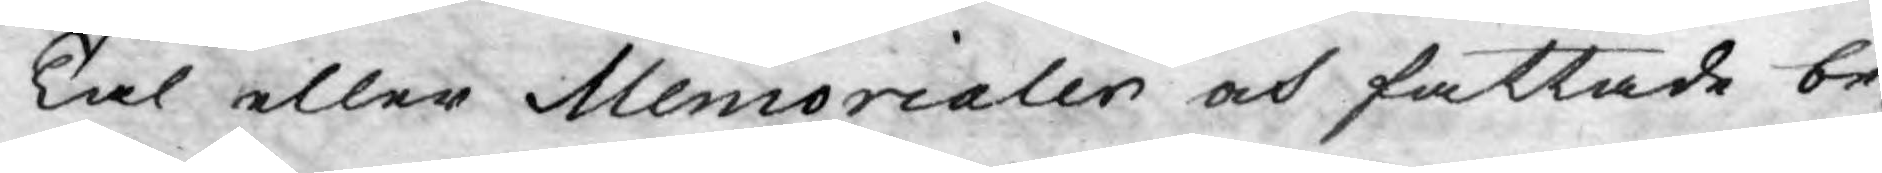Tal eller Memorialer och fattade be¬
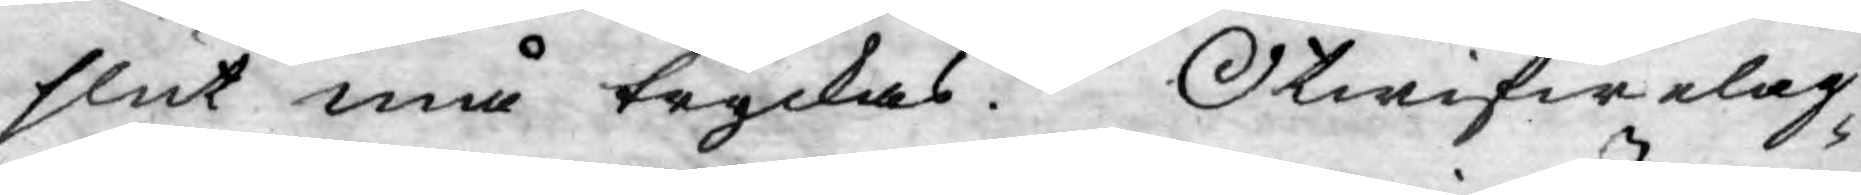slut må tryckas. Otwifwelag¬
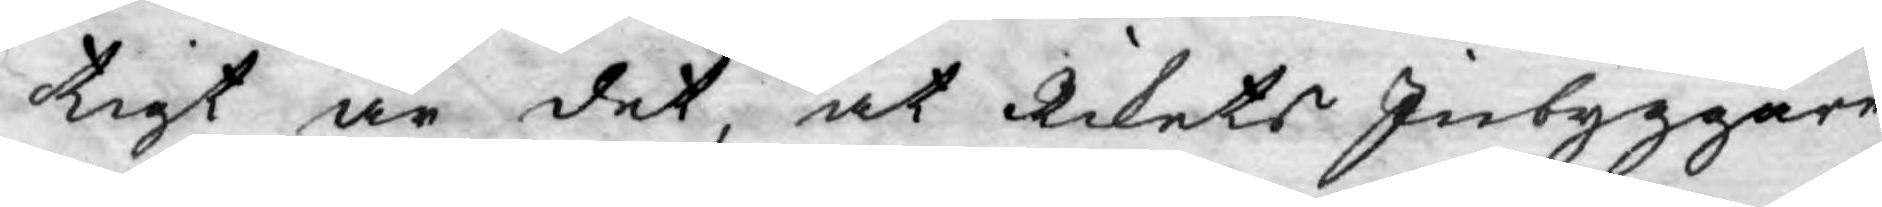tigt är det, at Rikets Inbyggare
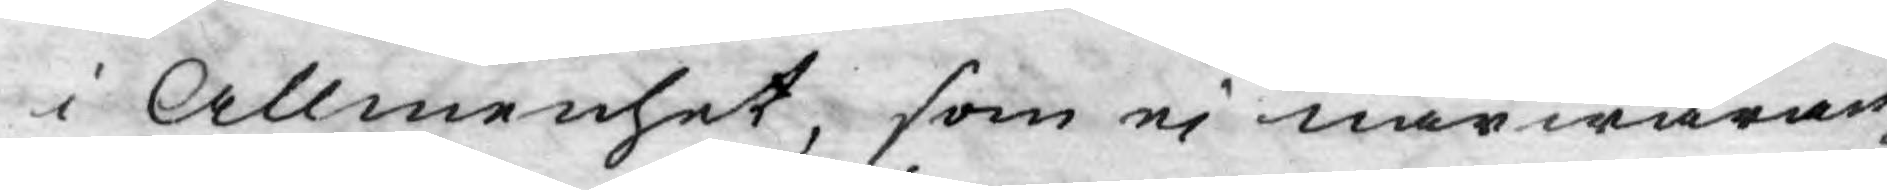i Allmenhet, som ej närwaran¬
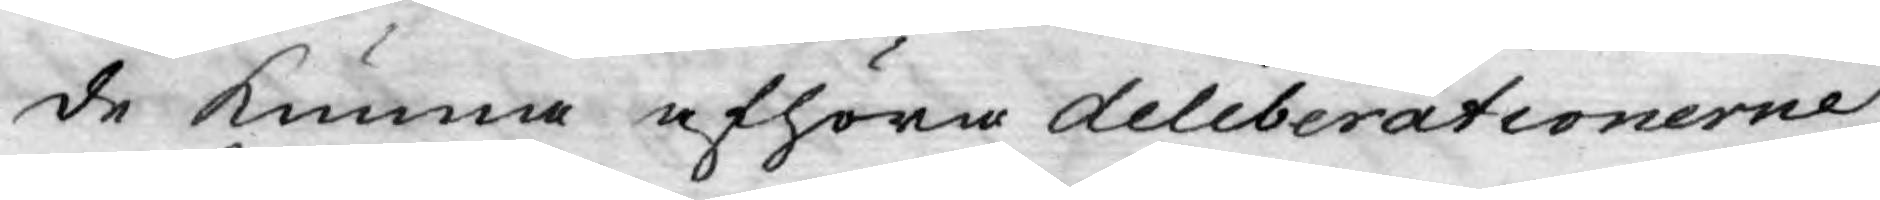de kunna afhöra deliberationerne
